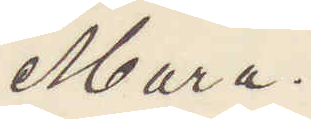Mara
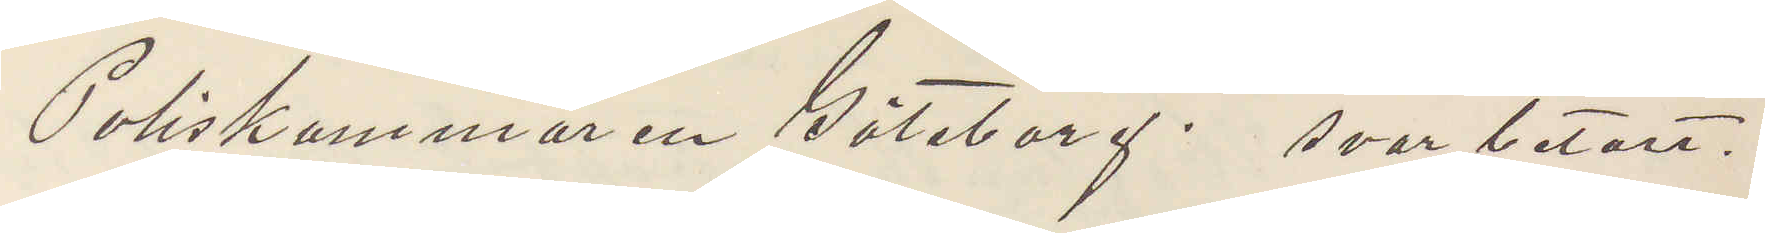Poliskammaren Göteborg. svar betalt.
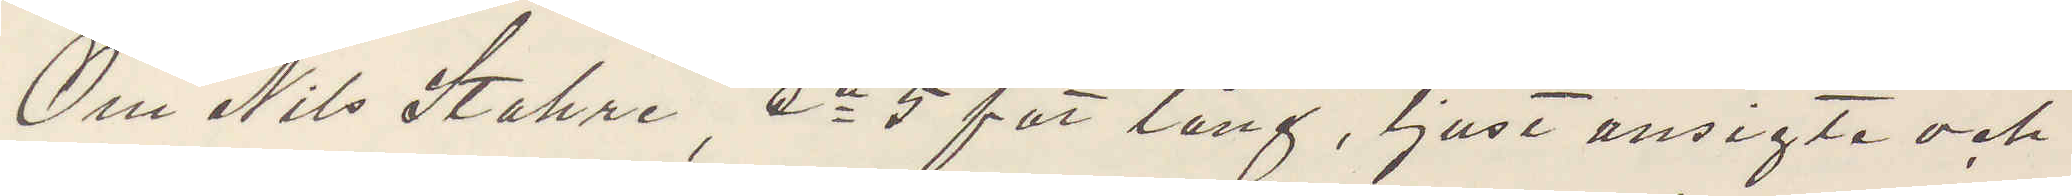Om Nils Stahre, ca 5 fot lång, ljust ansigte och
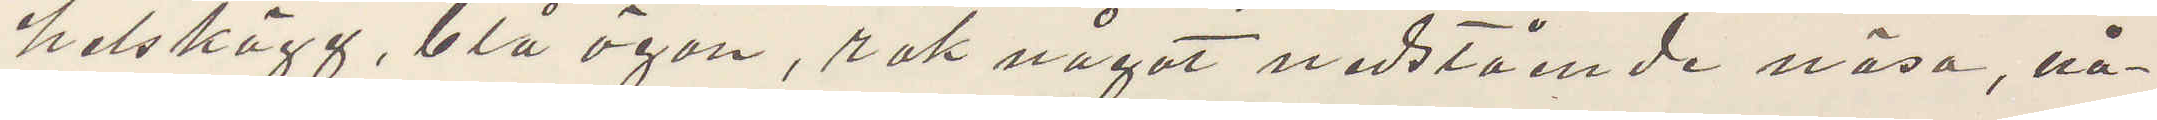helskägg, blå ögon, rak något nedstående näsa, nå¬
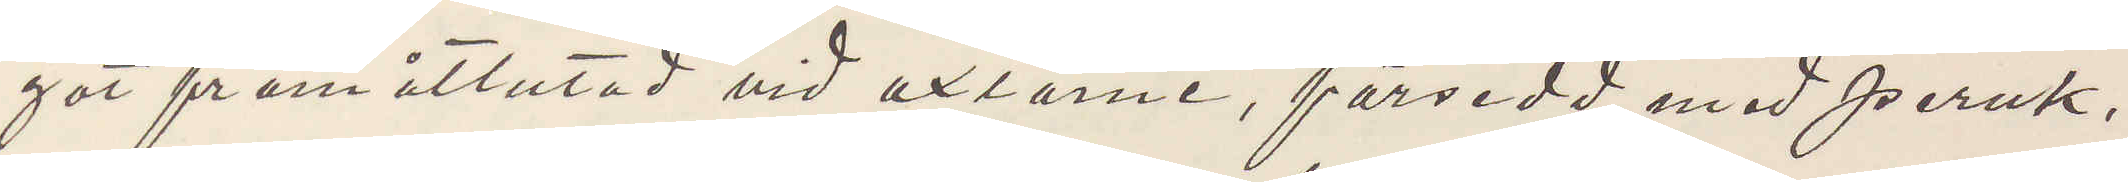got framåtlutad vid axlarne, försedd med peruk,
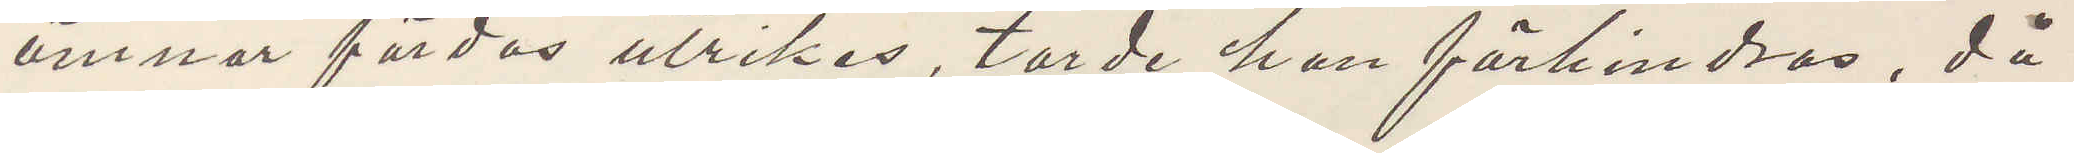ämnar färdas utrikes, torde han förhindras, då
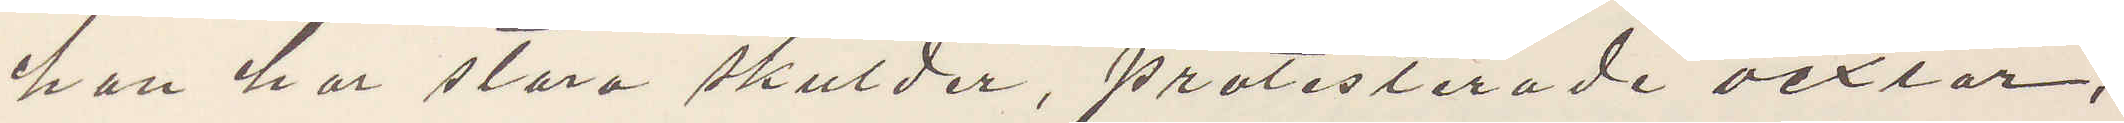han har stora skulder, protesterade vexlar,
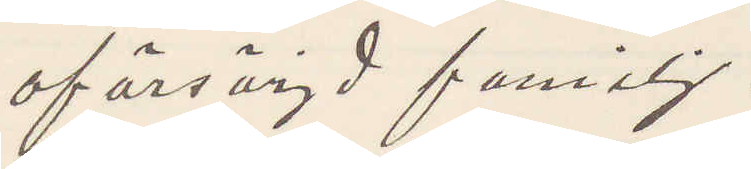oförsörjd familj.
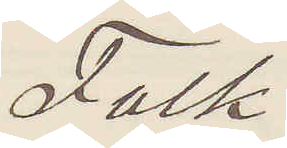Falk
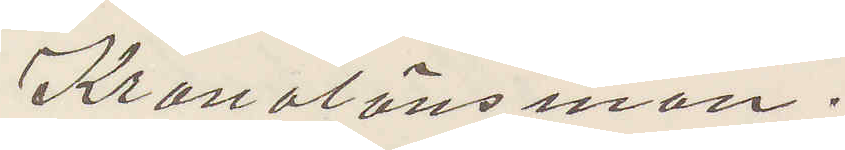Kronolänsman.
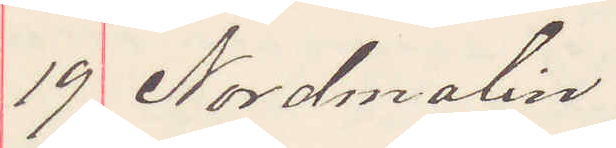19 Nordmalin.
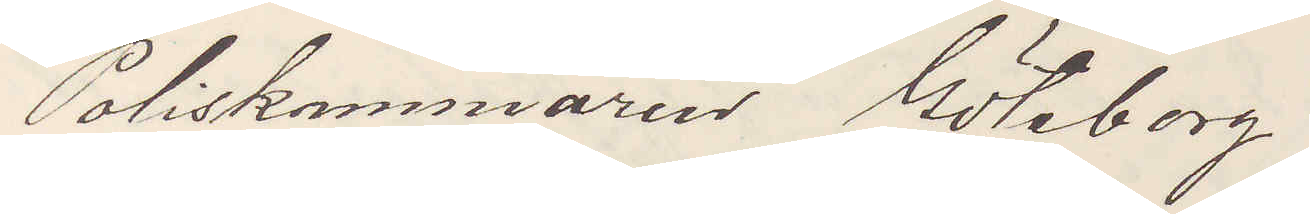Poliskammaren Göteborg
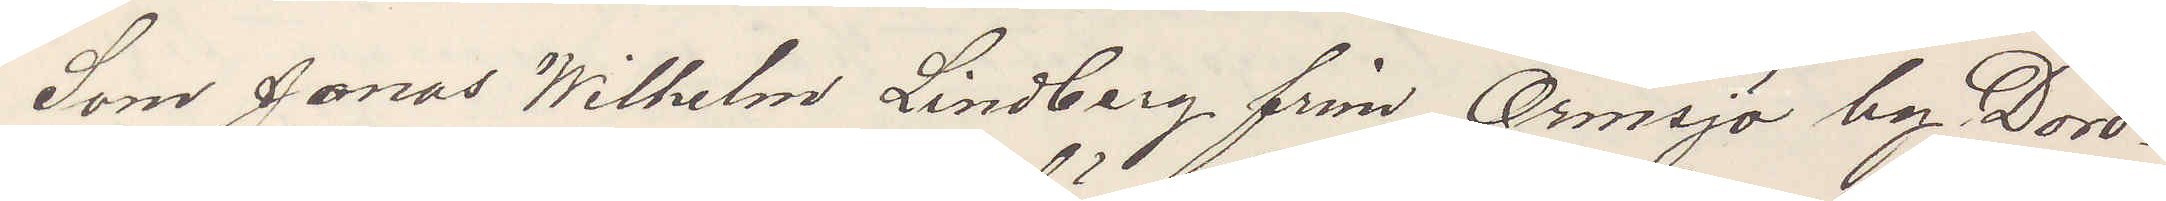Som Jonas Wilhelm Lindberg från Ormsjö by Doro¬
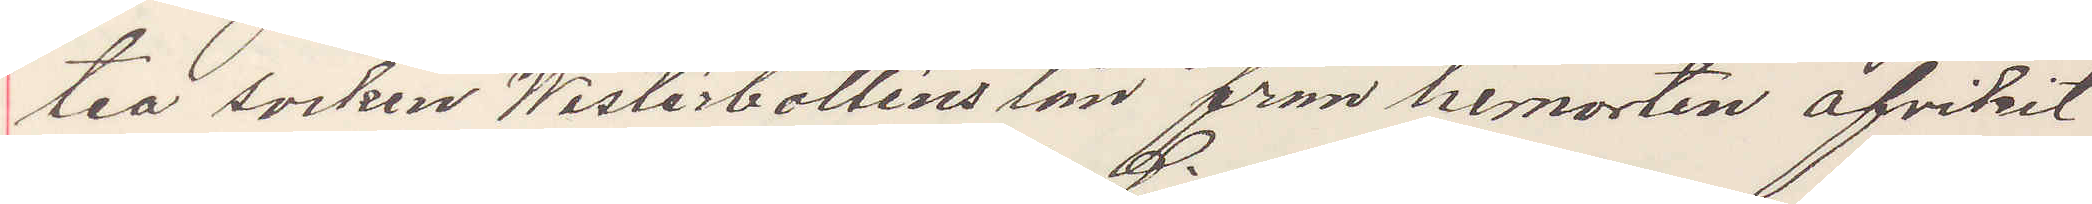tea socken Westerbottens län från hemorten afvikit
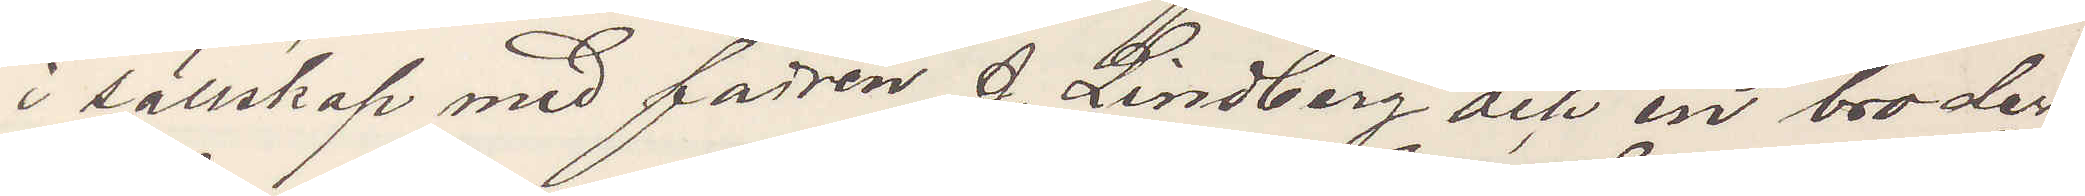i sällskap med fadren J. Lindberg och en broder,
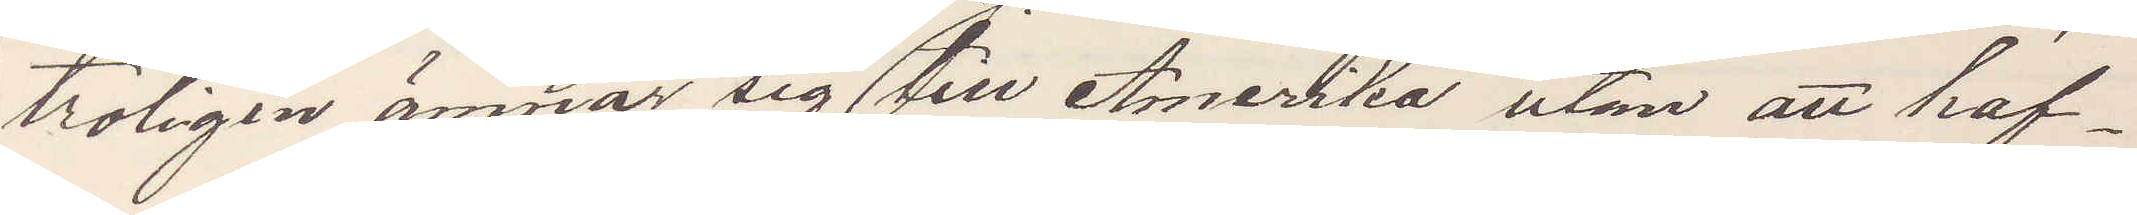troligen ämnar sig till Amerika utom att haf¬
